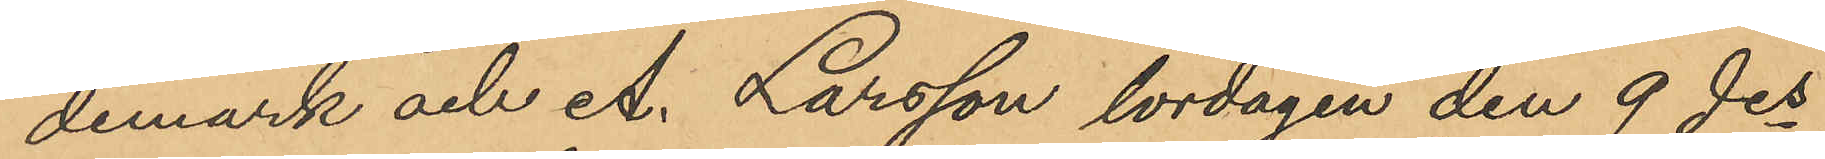demark och A. Larsson lördagen den 9 des
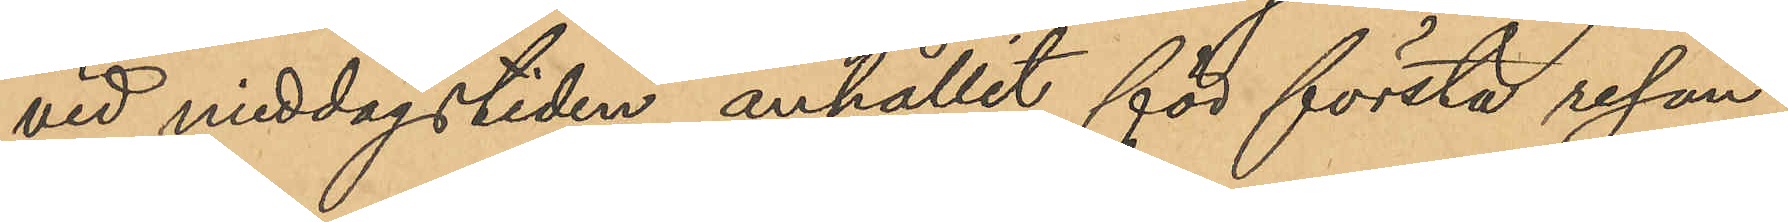vid middagstiden anhållit för första resan
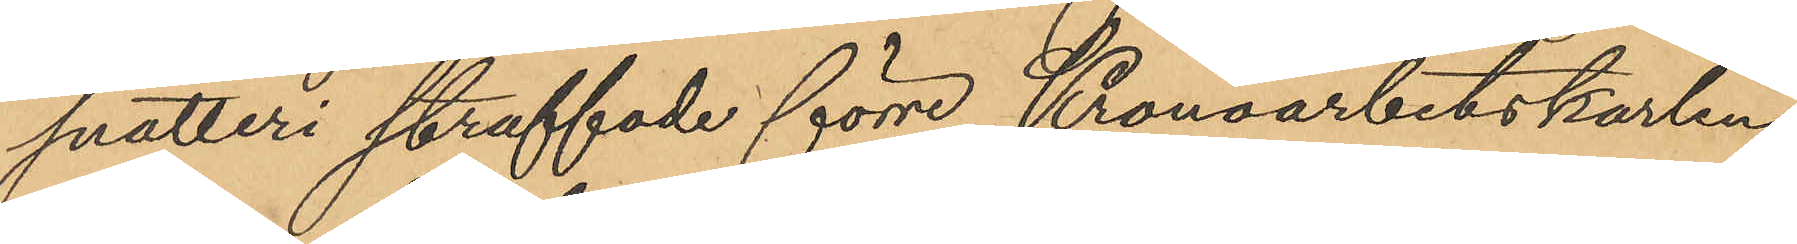snatteri straffade förre Kronoarbetskarlen
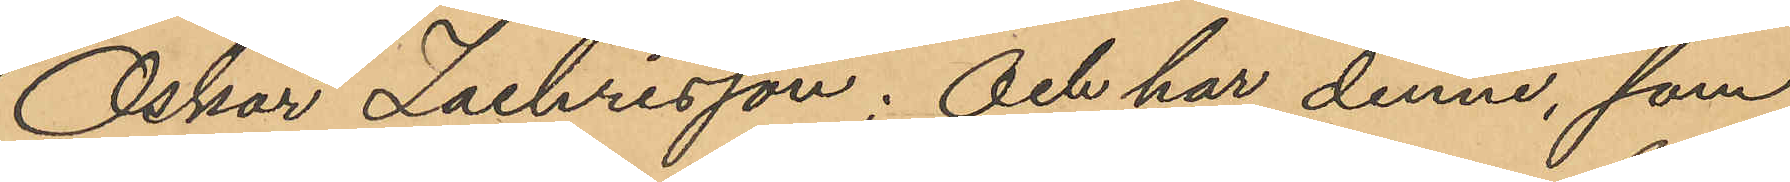Oskar Zachrisson; och har denne, som
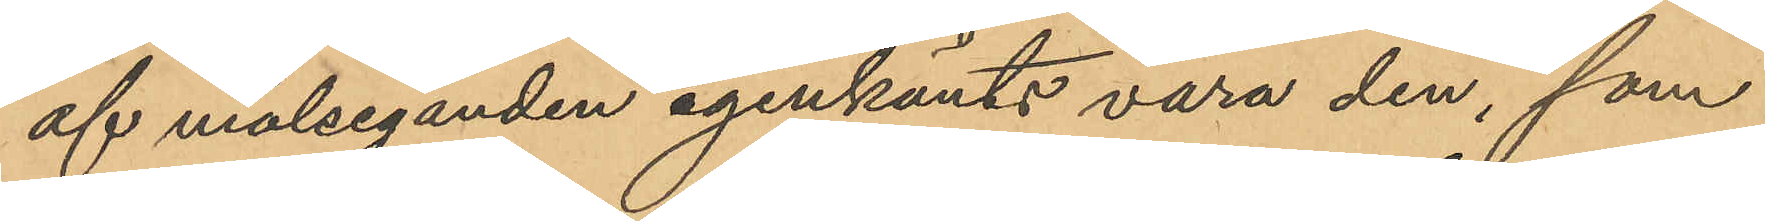af målseganden igenkänts vara den, som
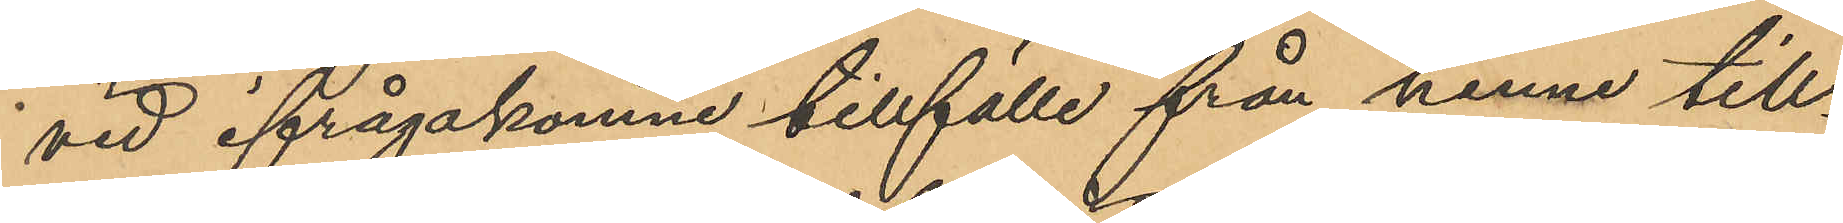vid ifrågakomne tillfälle från henne till¬
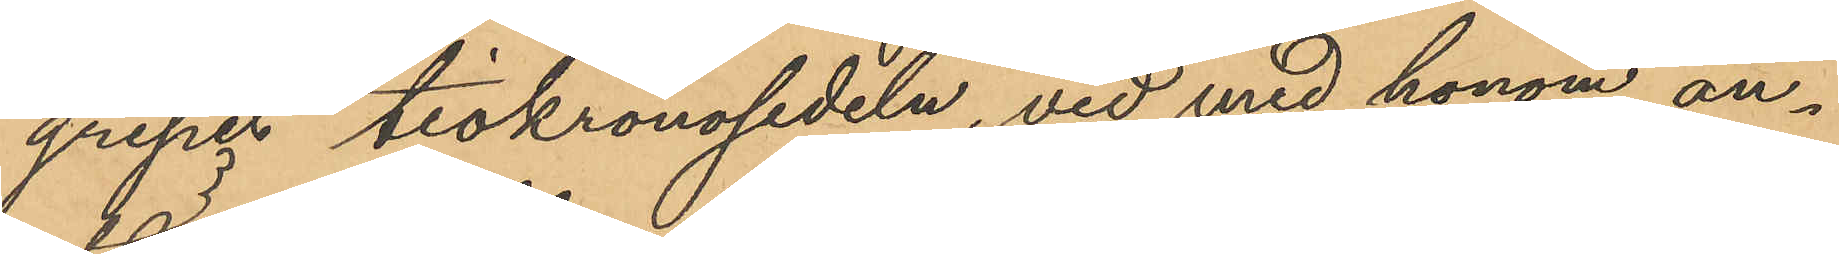gripit tiokronosedeln, vid med honom an¬
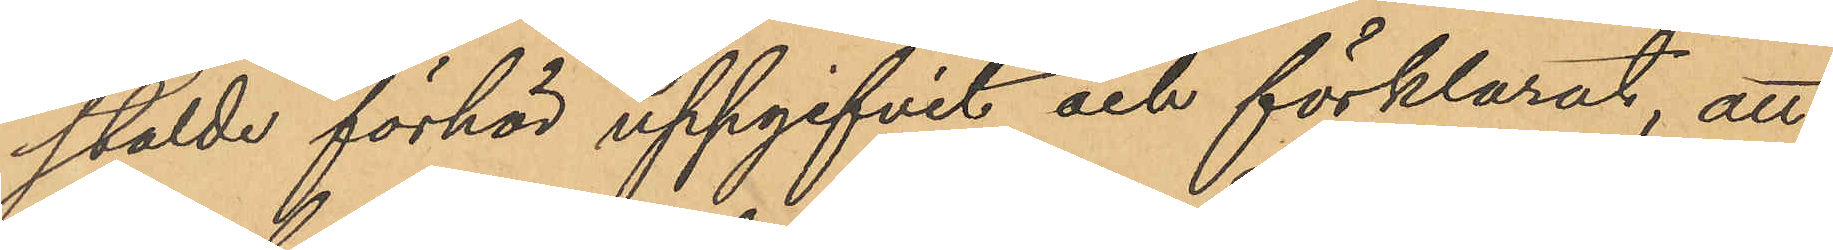stälde förhör uppgifvit och förklarat, att
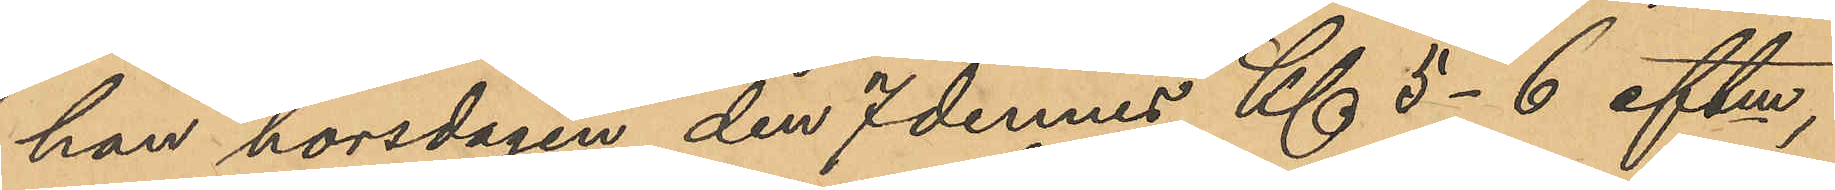han torsdagen den 7 dennes Kl. 5-6 eftm,
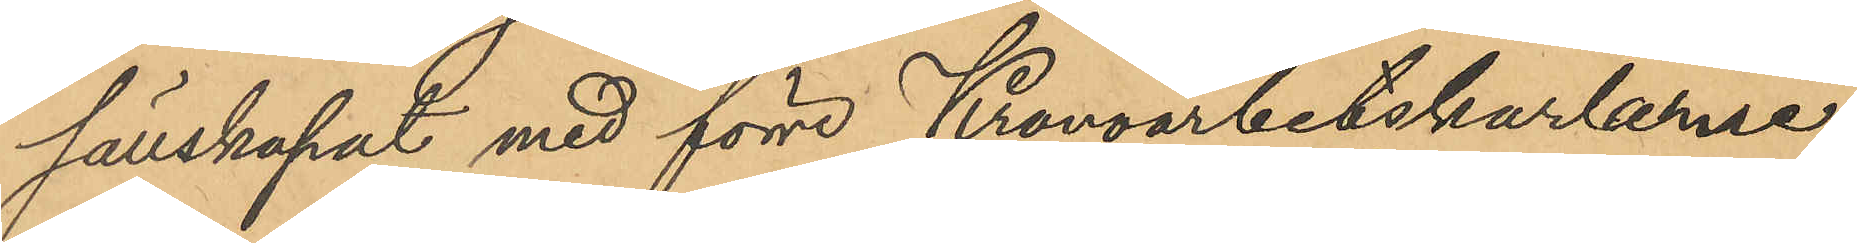sällskapat med förre Kronoarbetskarlarne
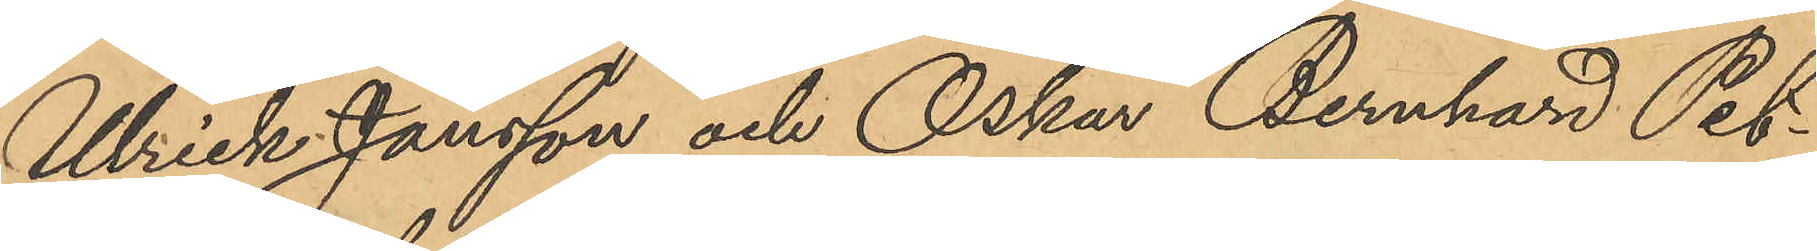Ulrick Jansson och Oskar Bernhard Pet¬
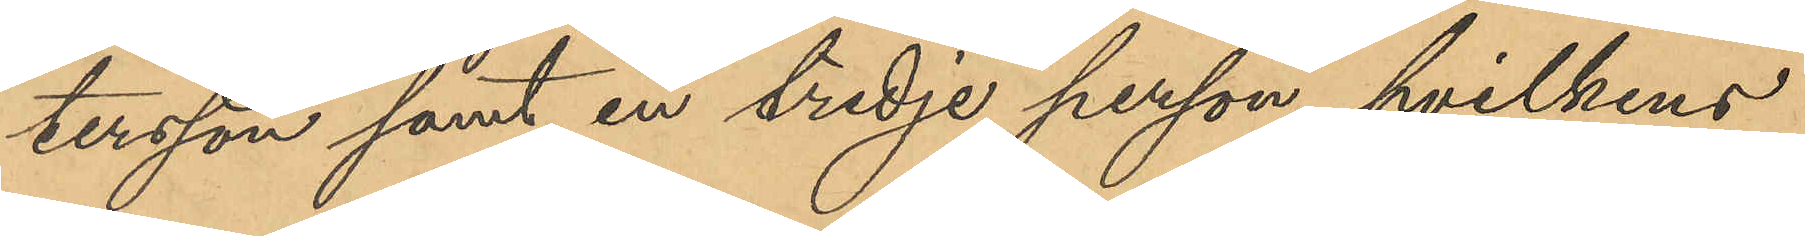tersson samt en tredje person, hvilkens
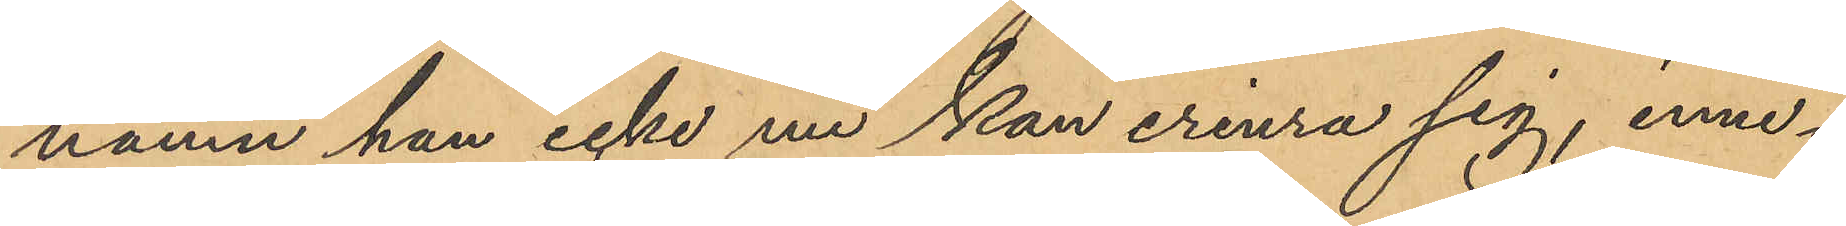namn han icke nu kan erinra sig, inne¬
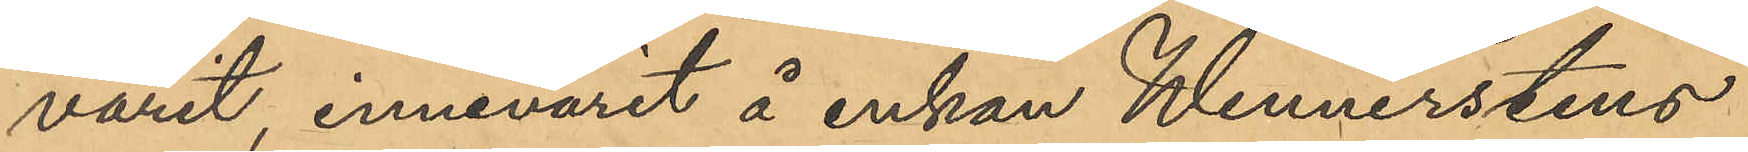varit, innevarit å enkan Wennerstens
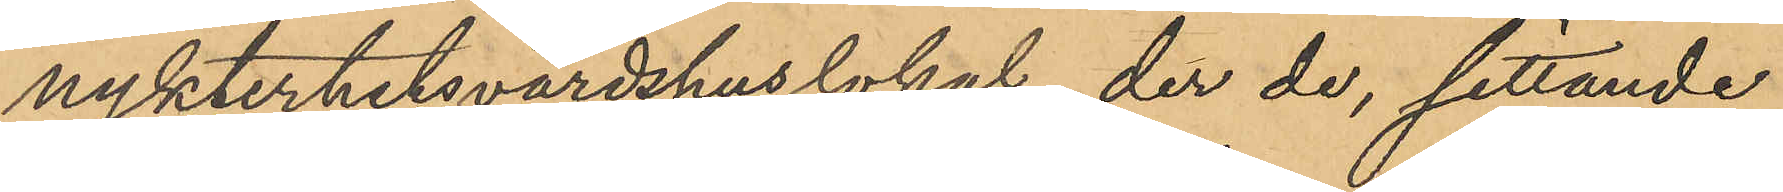nykterhetsvärdshuslokal, der de, sittande
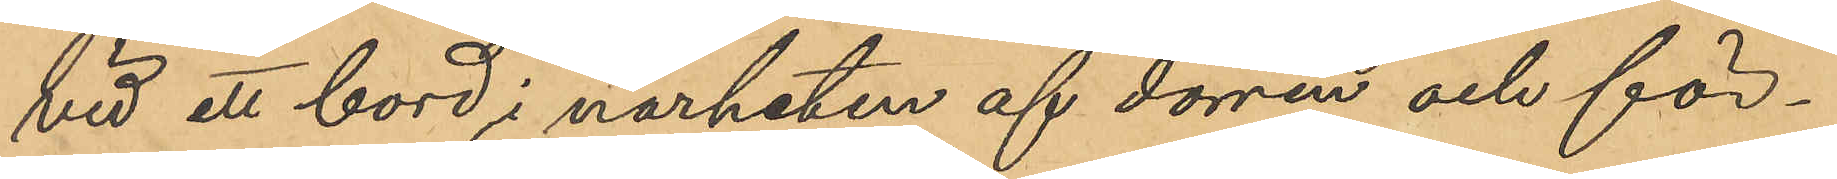vid ett bord i närheten af dörren och för¬
